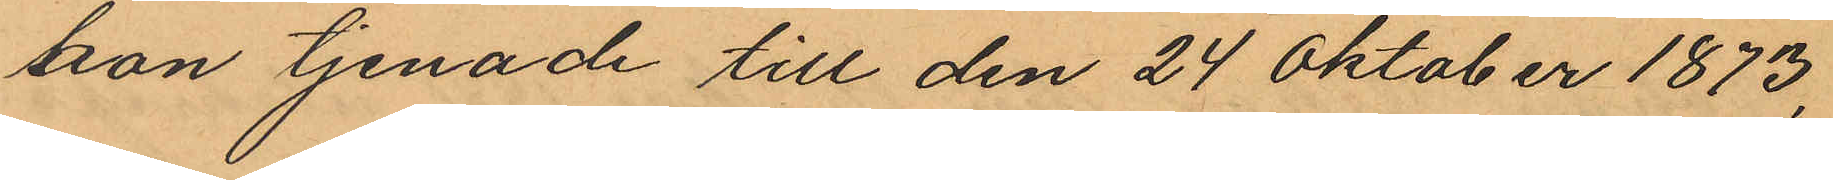hon tjenade till den 24 Oktober 1873,
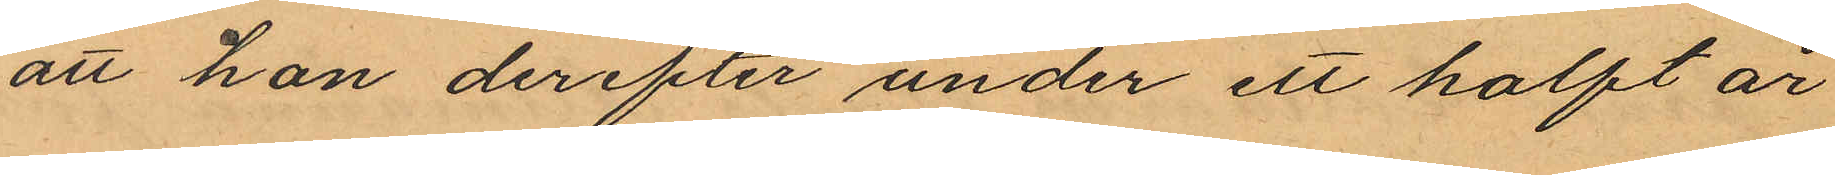att hon derefter under ett halft år
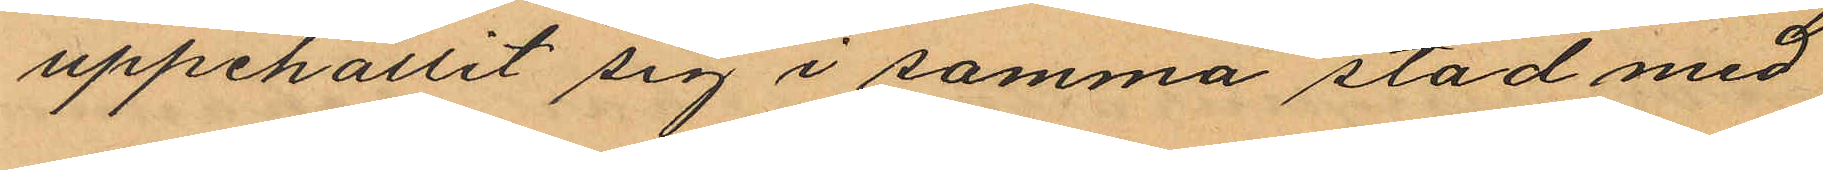uppehållit sig i samma stad med
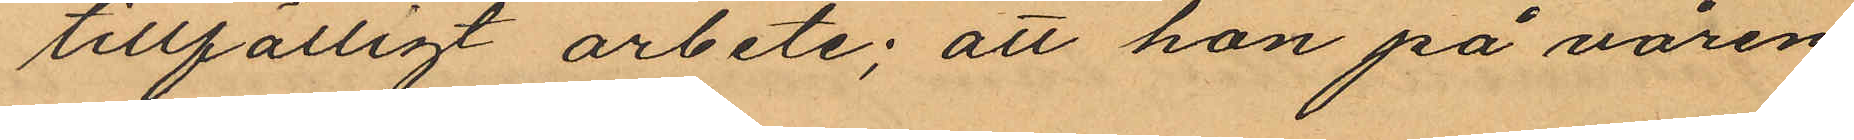tillfälligt arbete; att hon på våren
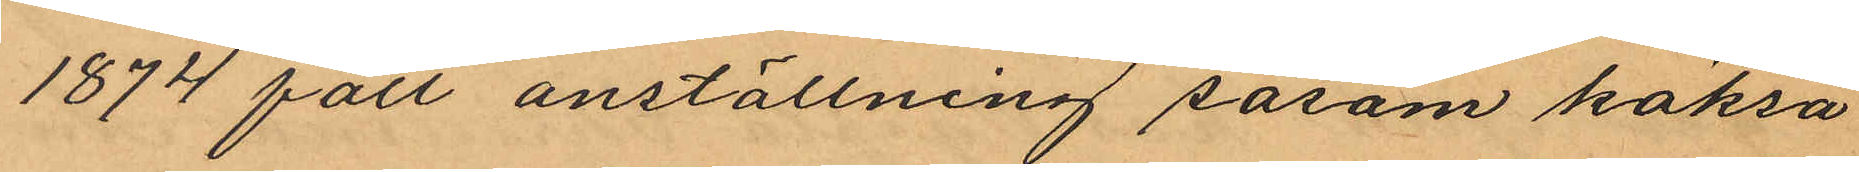1874 fått anställning såsom köksa
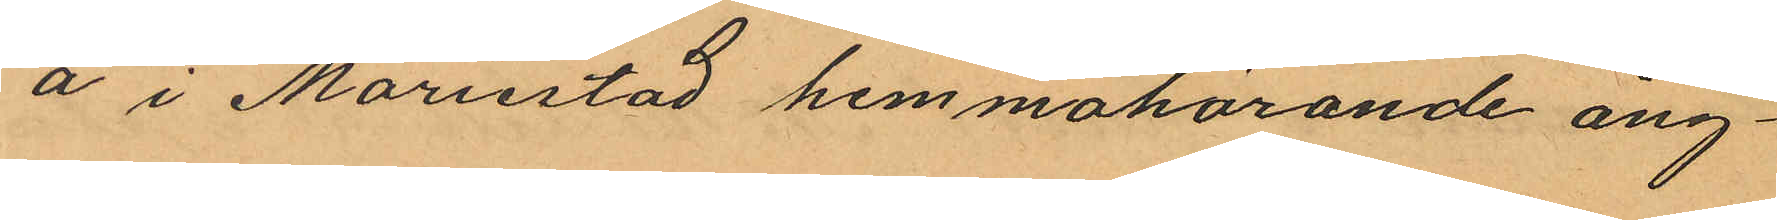å i Mariestad hemmahörande ång¬
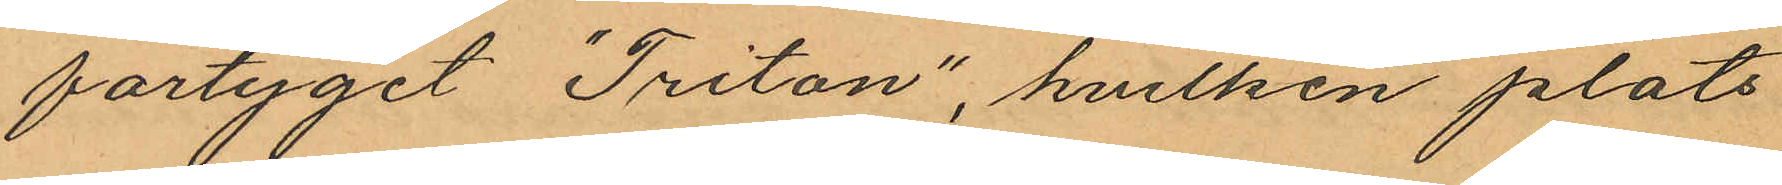fartyget "Triton", hvilken plats
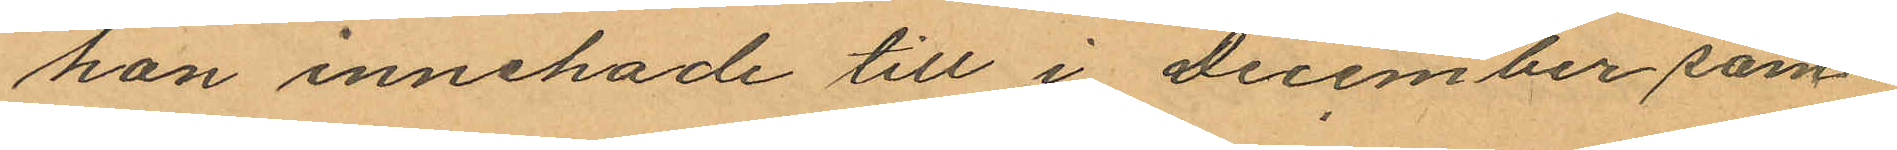hon innehade till i december sam¬
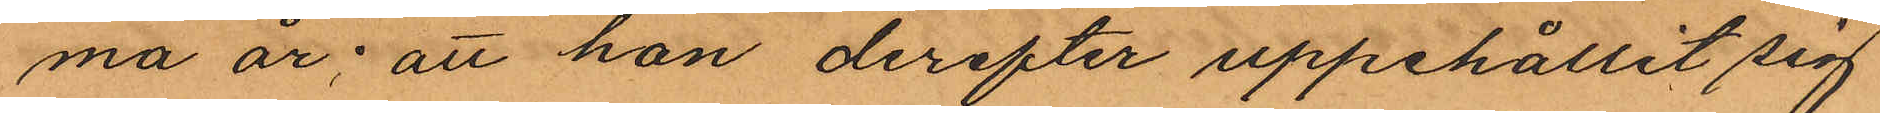ma år; att han derefter uppehållit sig
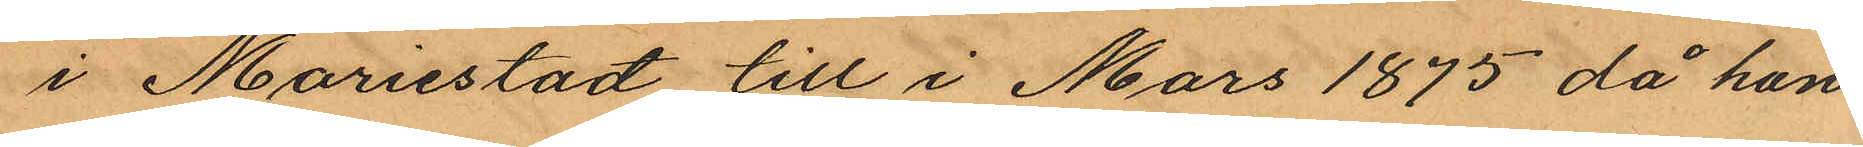i Mariestad till i Mars 1875 då hon
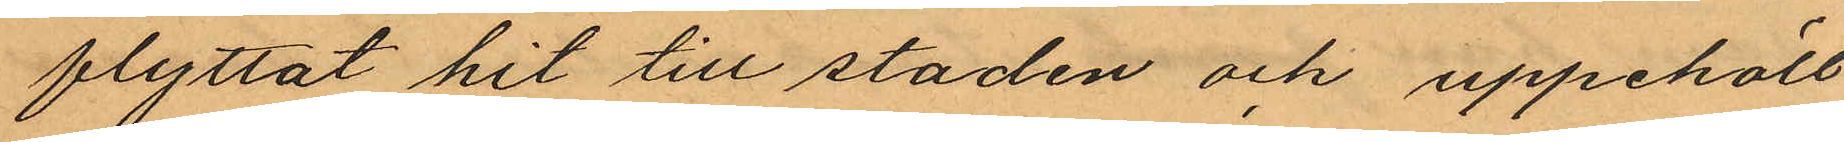flyttat hit till staden och uppehöll
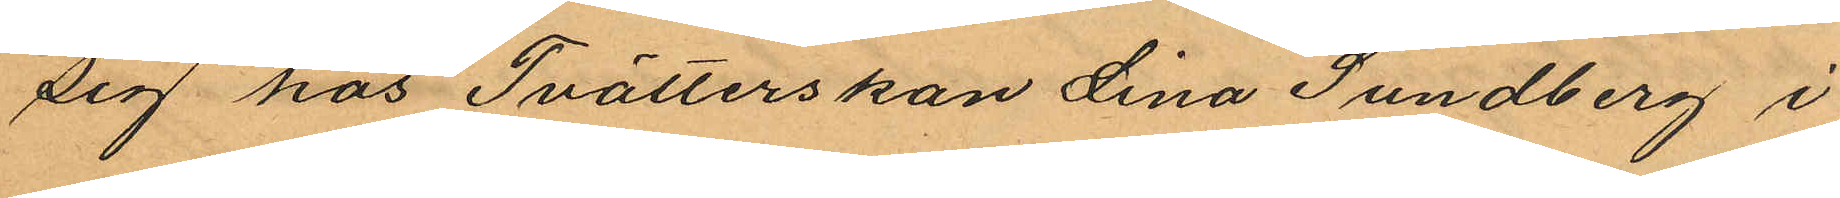sig hos Tvätterskan Lina Sundberg i
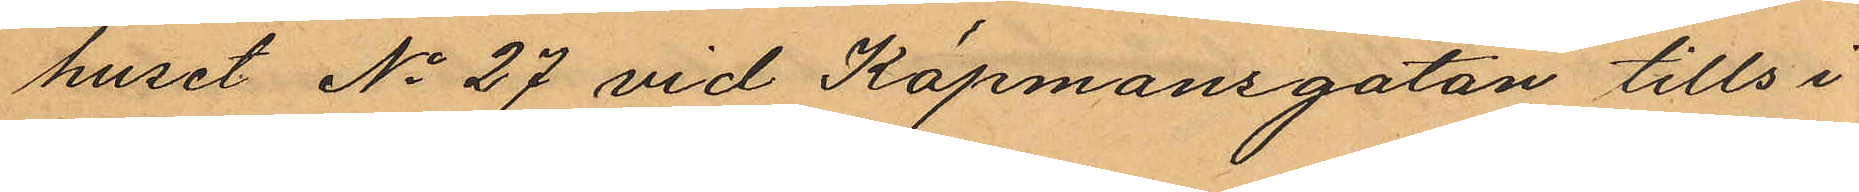huset No 27 vid Köpmansgatan tills i
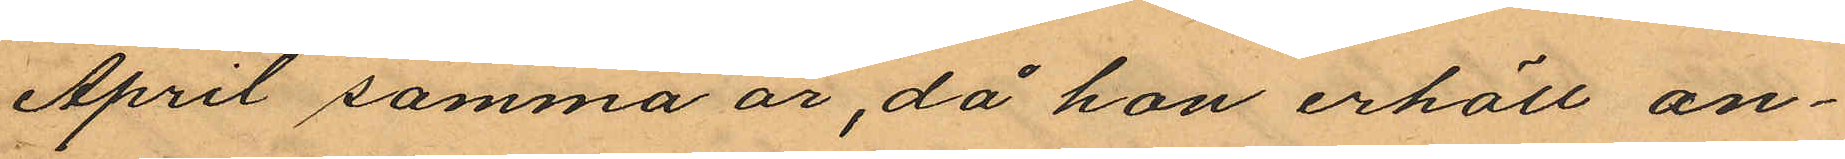April samma år, då hon erhöll an¬
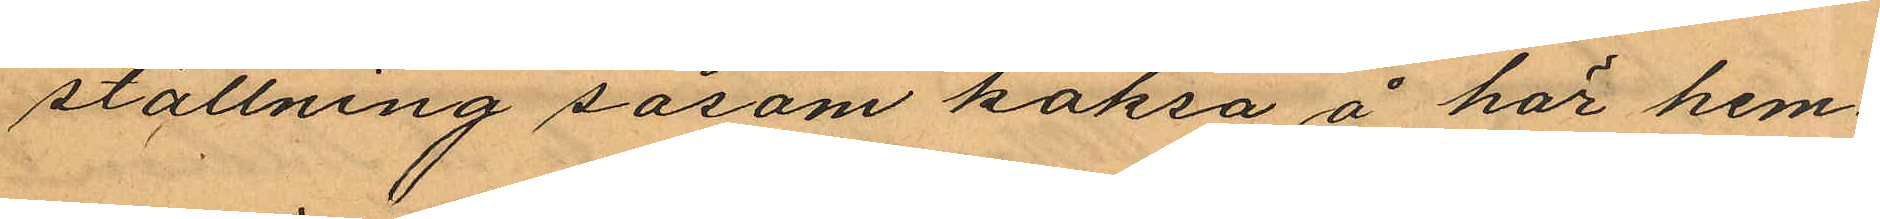ställning såsom köksa å här hem¬
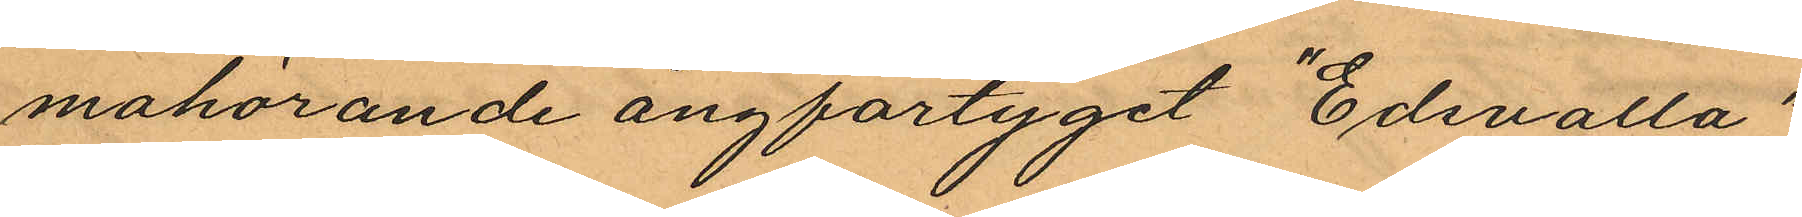mahörande ångfartyget "Edsvalla",
